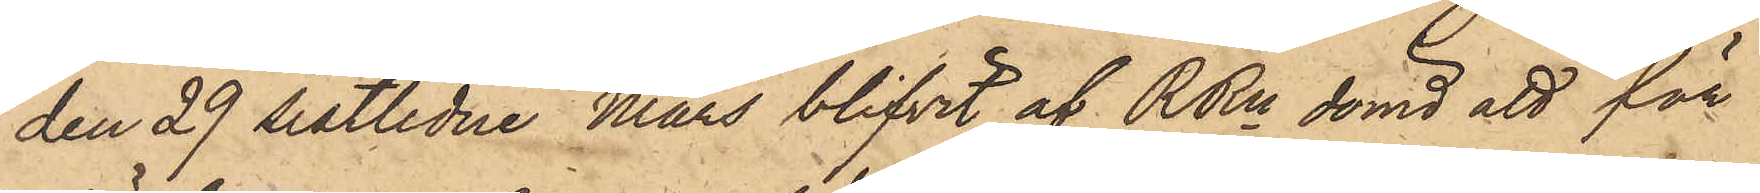den 29 sistlidne Mars blifvit af RRn dömd att för
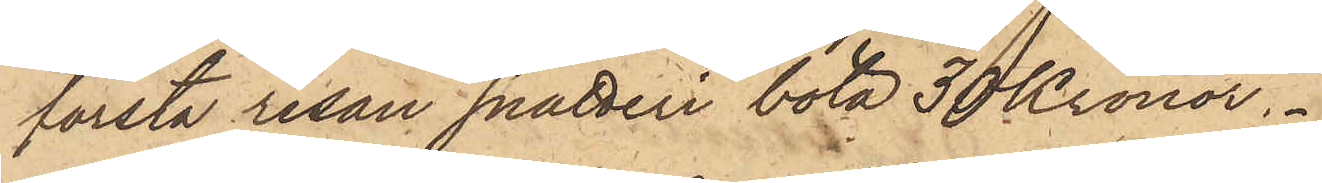första resan snatteri böta 30 Kronor.
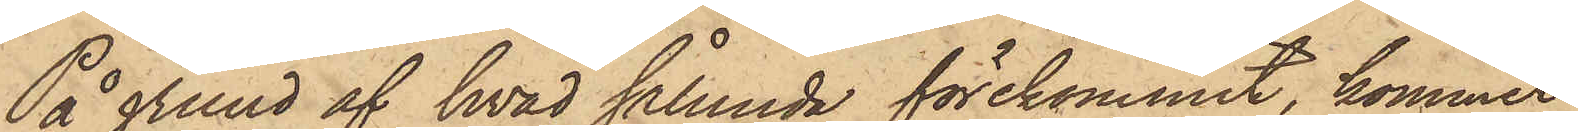På grund af hvad sålunda förekommit, kommer
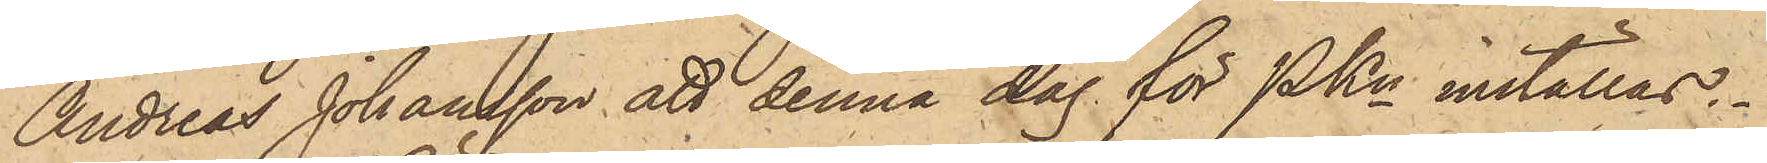Andreas Johansson att denna dag för PKn inställas.
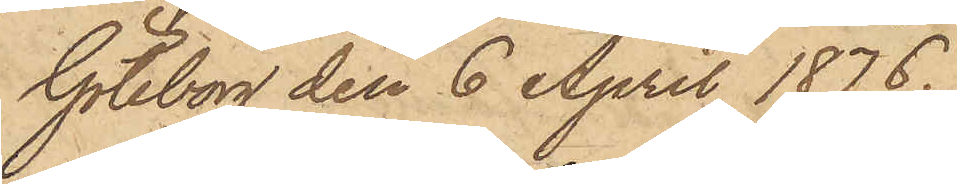Göteborg den 6 April 1876.
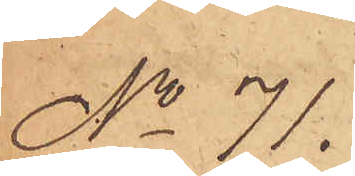No 71.
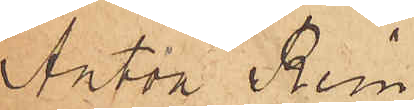Anton Rein¬
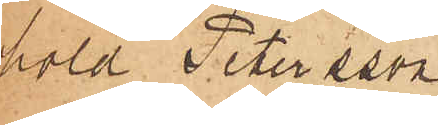hold Petersson
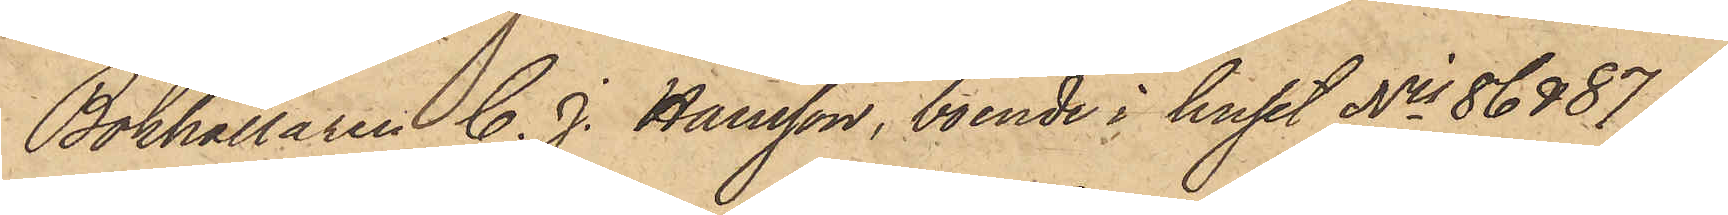Bokhållaren C. J. Hansson, boende i huset Nris 86 & 87 i
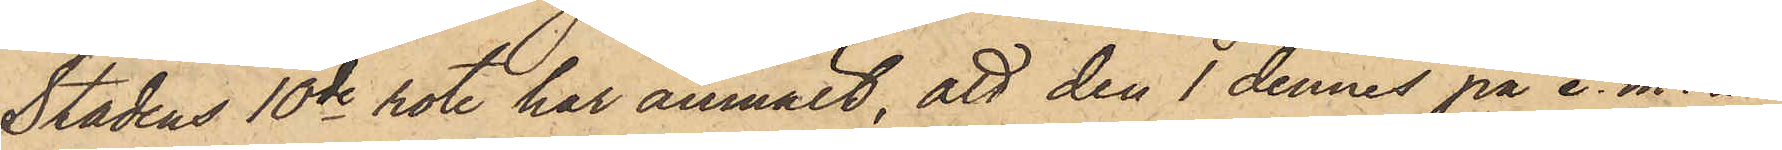Stadens 10de rote har anmält, att den 1 dennes på e. m. å
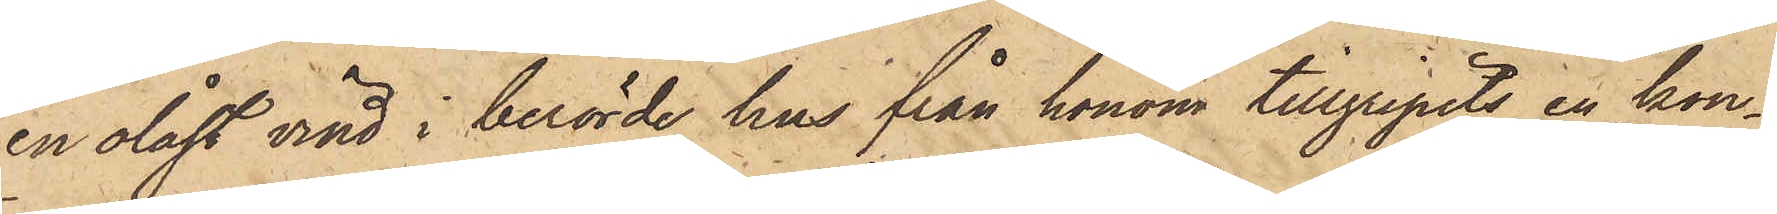en olåst vind i berörde hus från honom tillgripits en kon¬
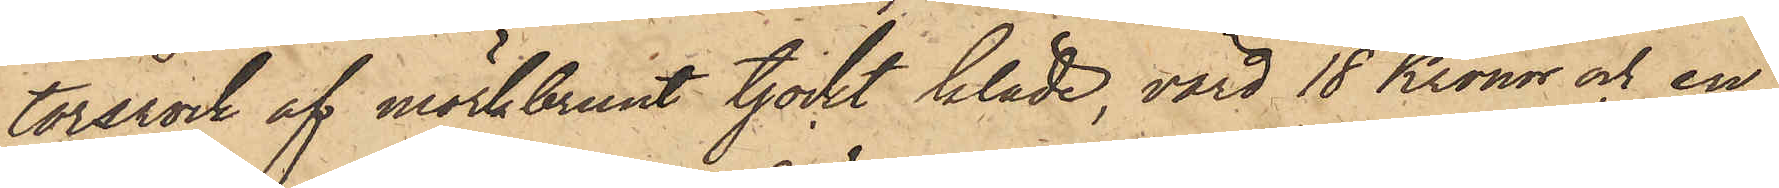torsrock af mörkbrunt tjockt kläde, värd 18 Kronor och en
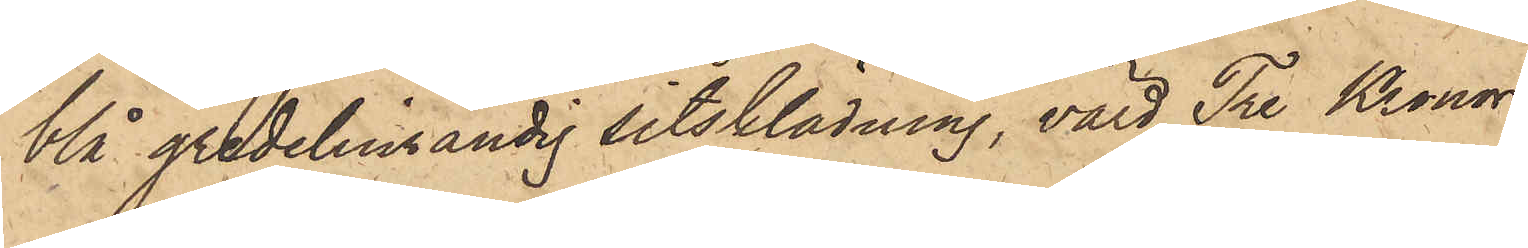blå gredelinrandig sitsklädning, värd Tre Kronor.
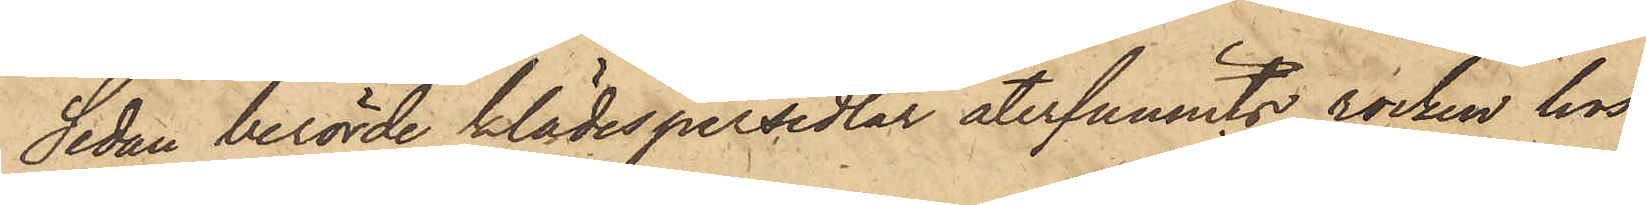Sedan berörde klädespersedlar återfunnits, rocken hos
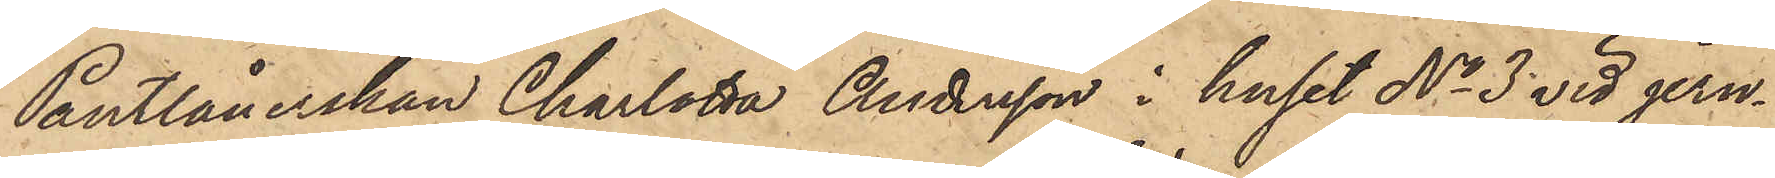Pantlånerskan Charlotta Andersson i huset No 3 vid jern¬
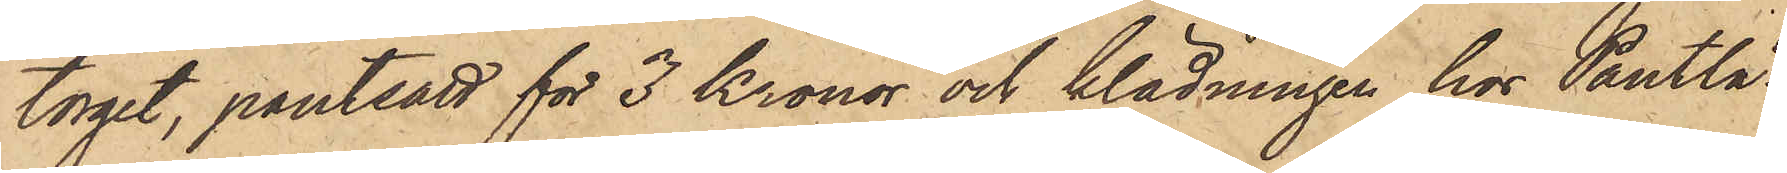torget, pantsatt för 3 Kronor och klädningen hos Pantlå¬
